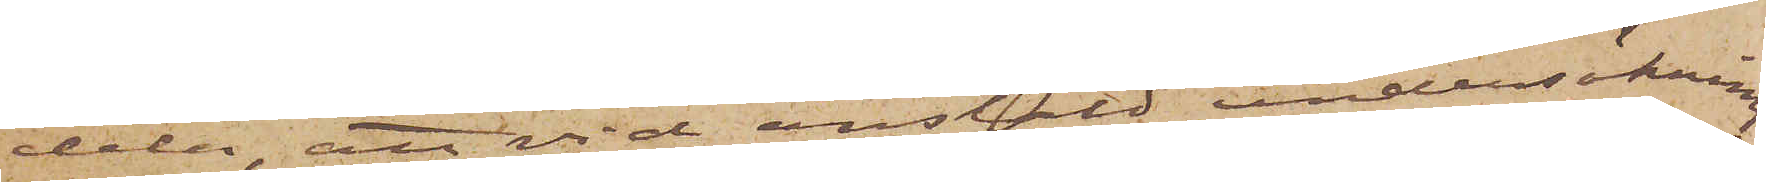dela, att vid anstäld undersökning
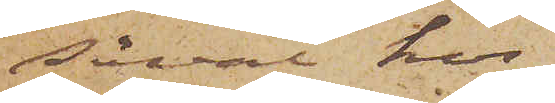såväl hos
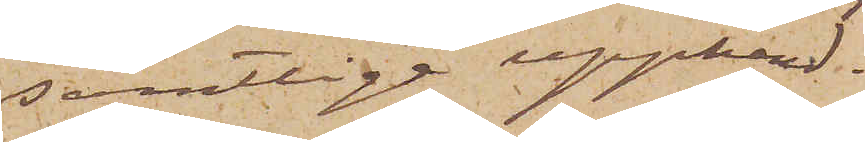samtlige upphand¬
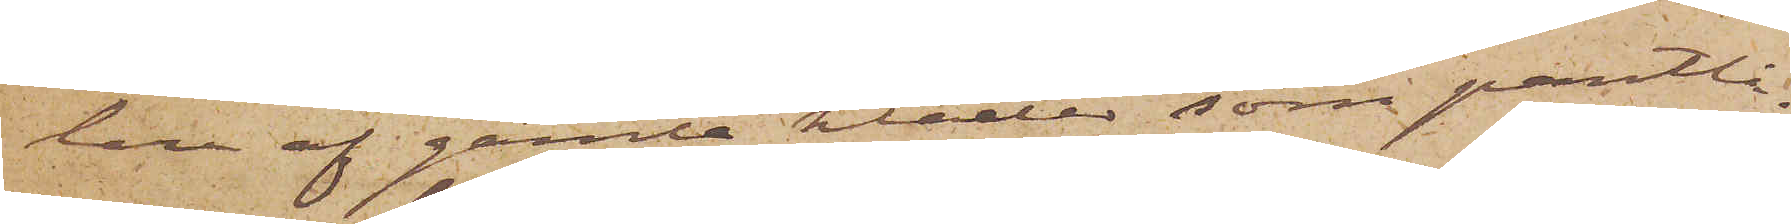lare af gamla kläder som pantlå¬
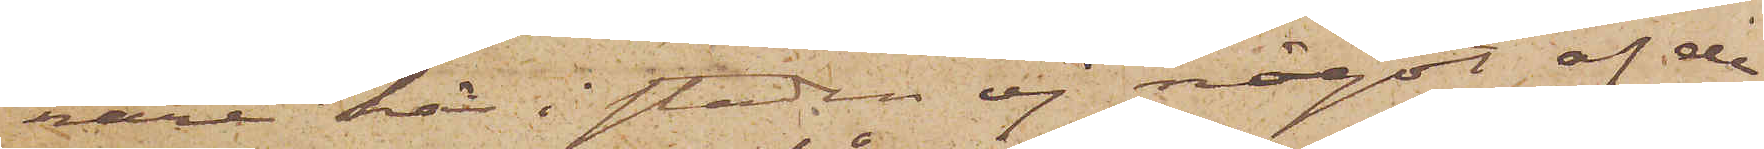nare här i staden ej något af de
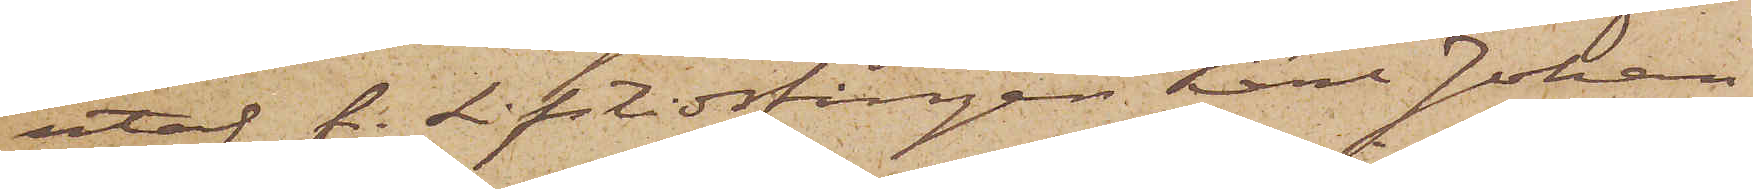utaf f. Lifstidsfången Karl Johan
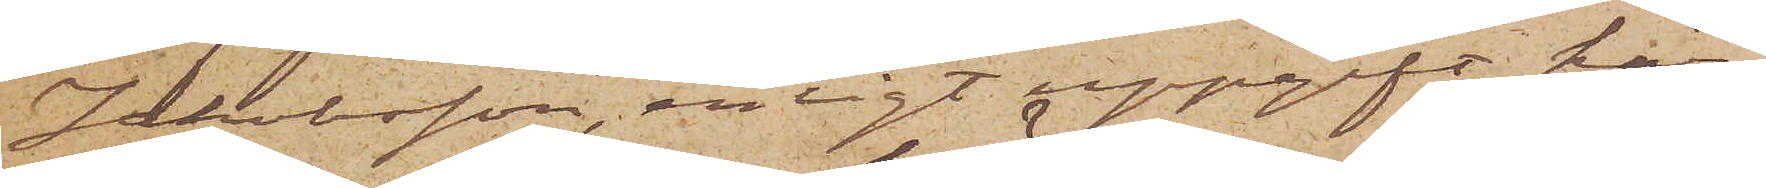Jakobsson, enligt uppgift, här¬
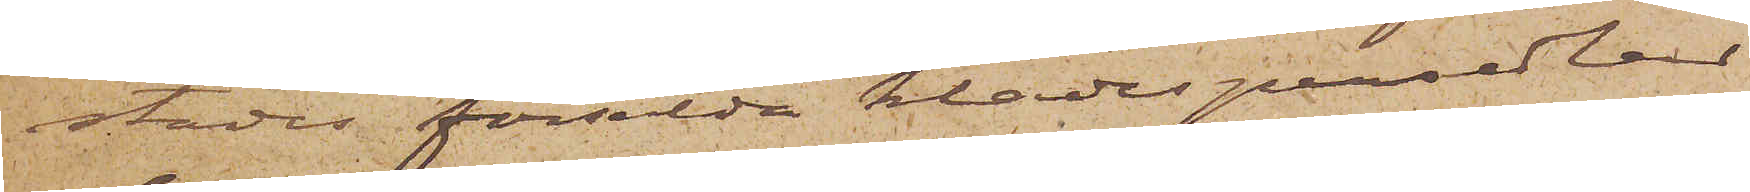städes försålda klädespersedlar
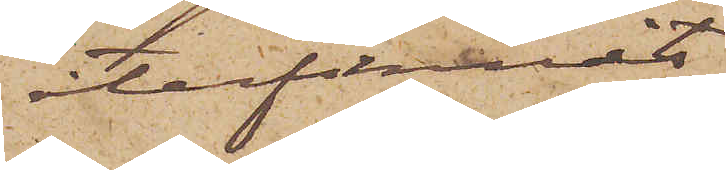återfunnits
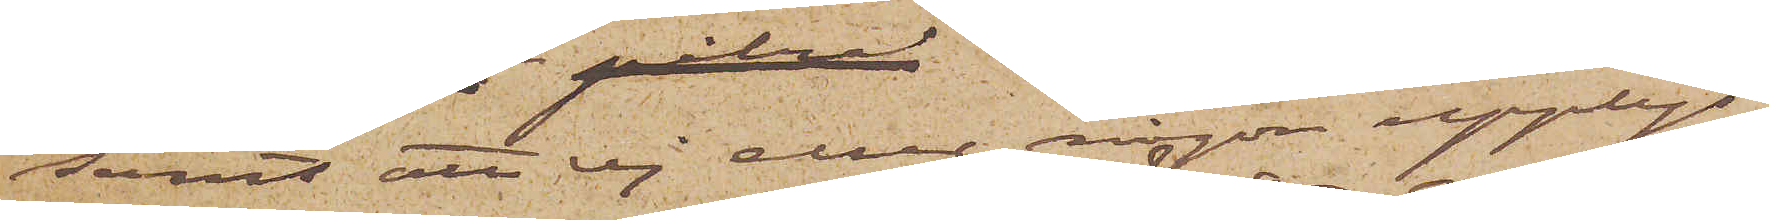samt att ej eller någon uppe
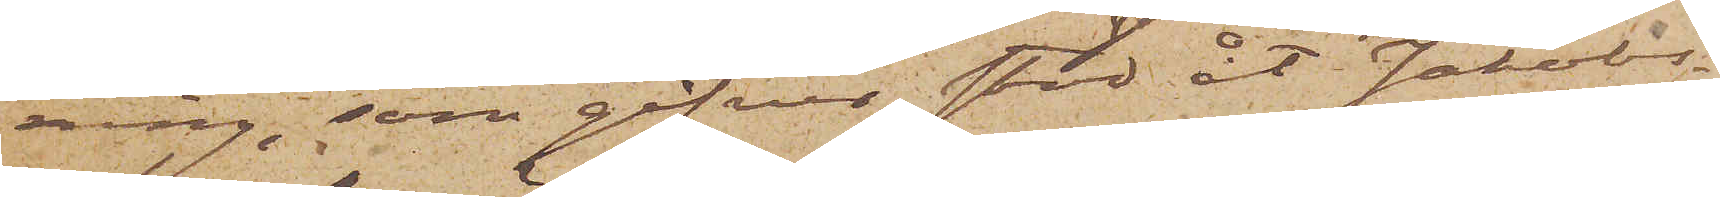ning, som gifver stöd åt Jakobs¬
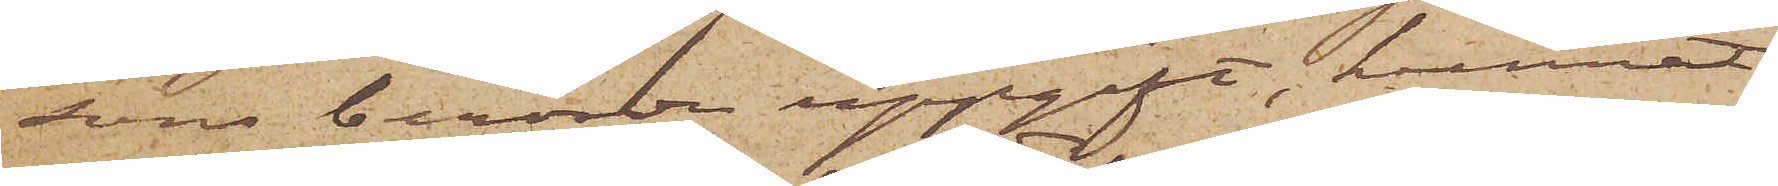sons berörde uppgift, kunnat
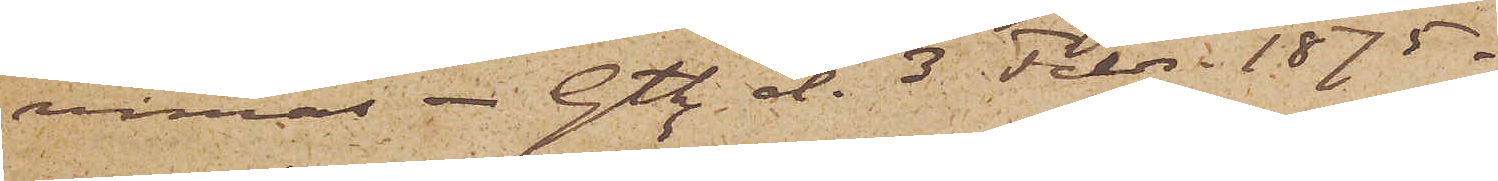vinnas. Gtbg d. 3 Febr. 1875.
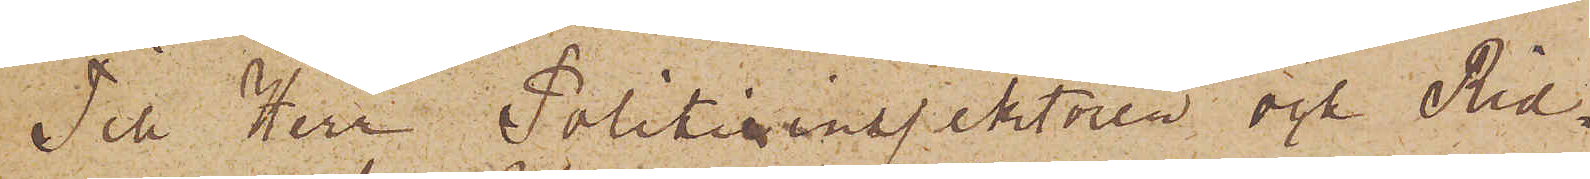Till Herr Politieinspektören och Rid¬
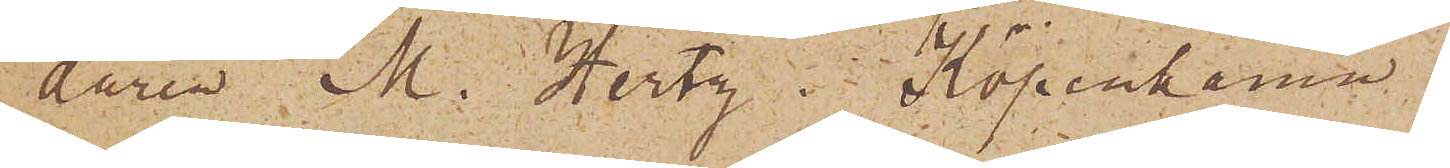daren M. Hertz, Köpenhamn
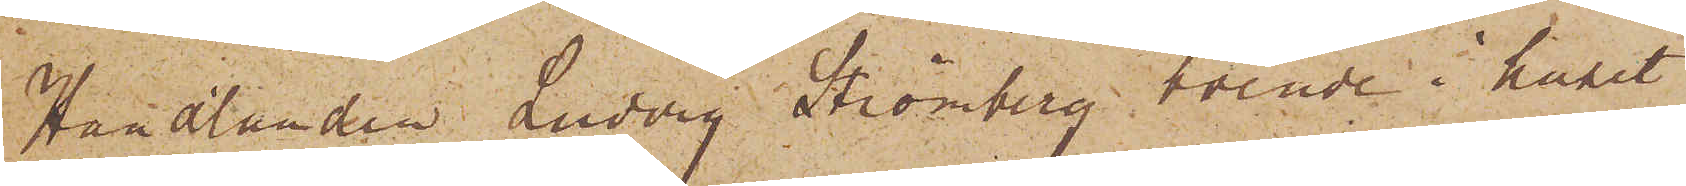Handlanden Ludvig Strömberg, boende i huset
